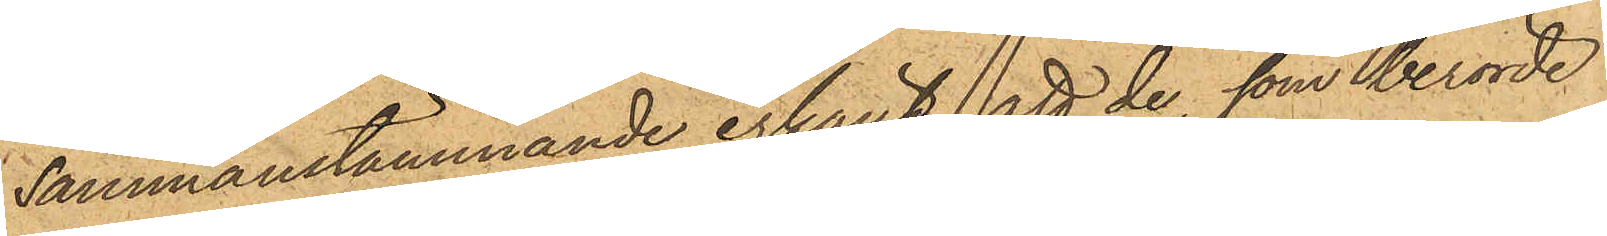sammanstämmande erkänt, att de, som berörde
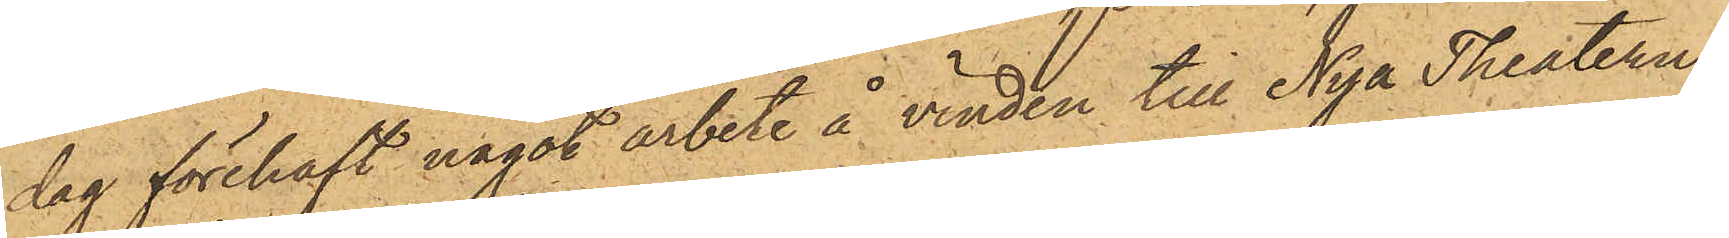dag förehaft något arbete å vinden till Nya Theatern,
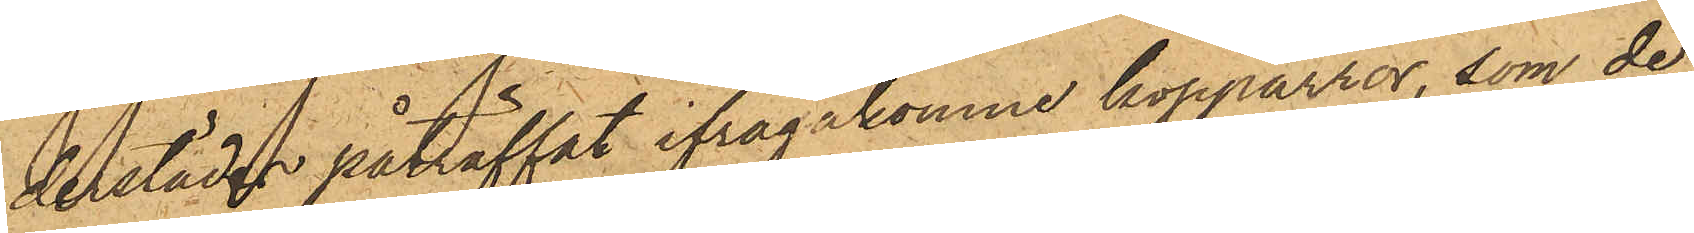derstädes påträffat ifrågakomne kopparrör, som de
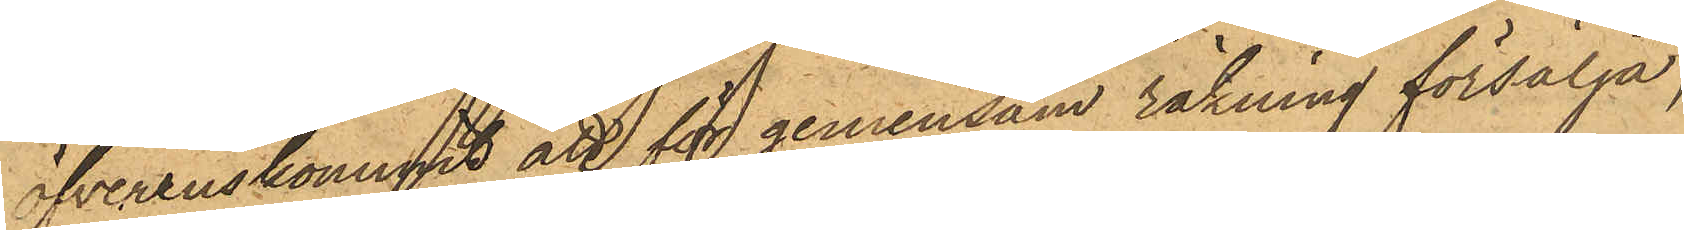öfverenskommit att för gemensam räkning försälja,
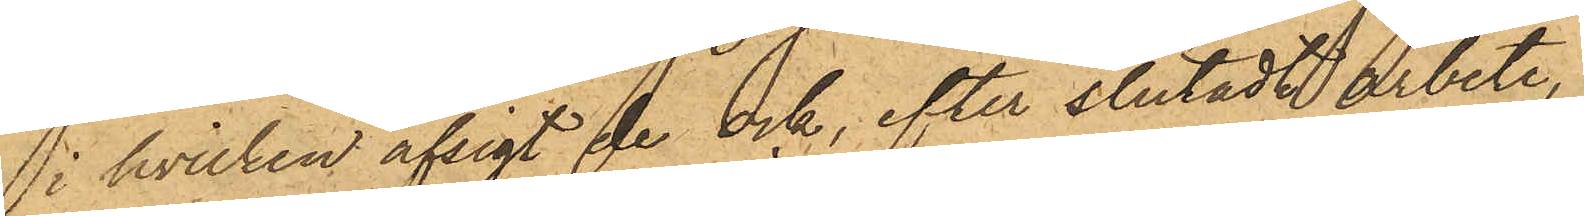i hvilken afsigt de ock, efter slutadt arbete,
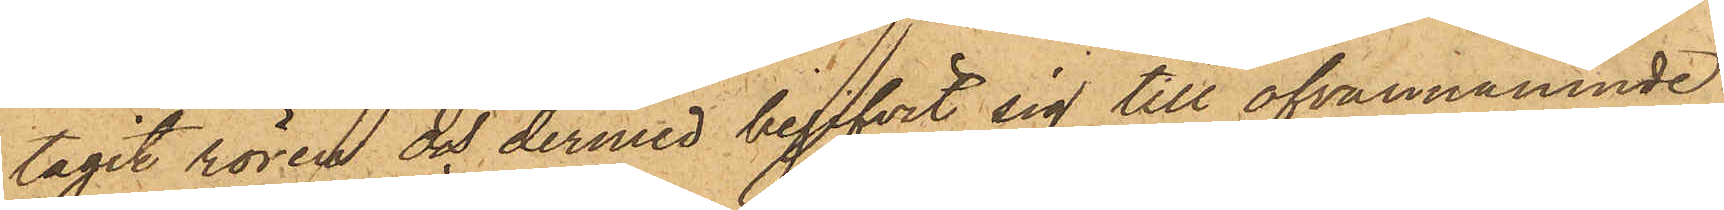tagit rören och dermed begifvit sig till ofvannämnde
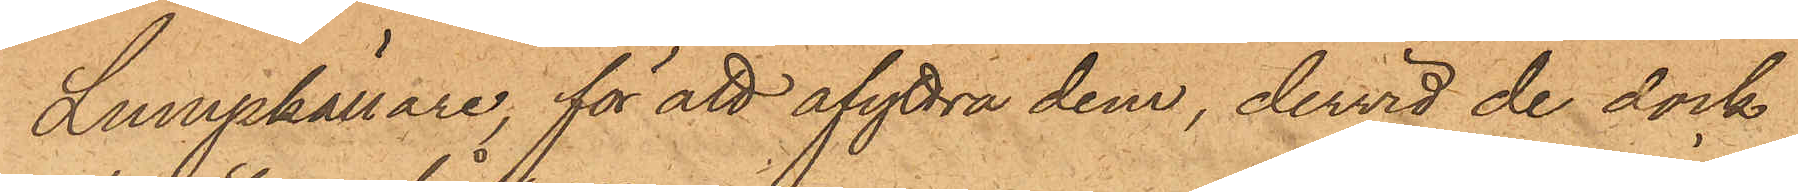Lumpkällare; för att afyttra dem, dervid de dock
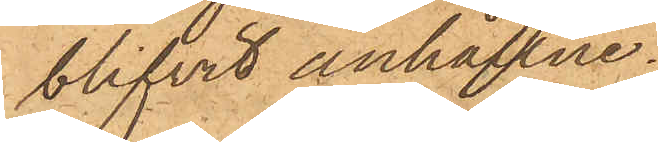blifvit anhållne.
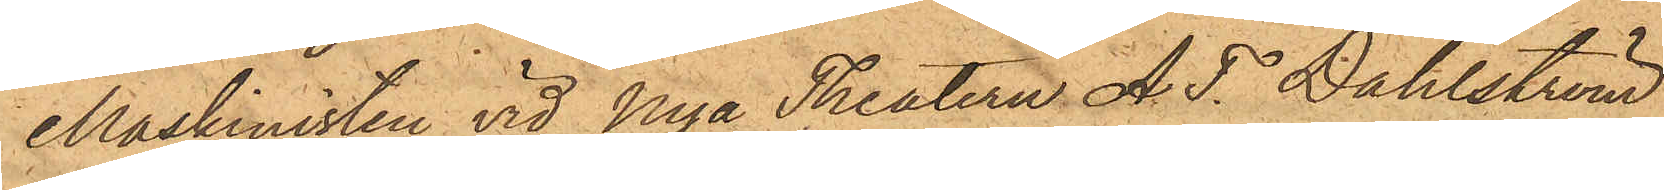Maskinisten vid Nya Theatern A.T Dahlström
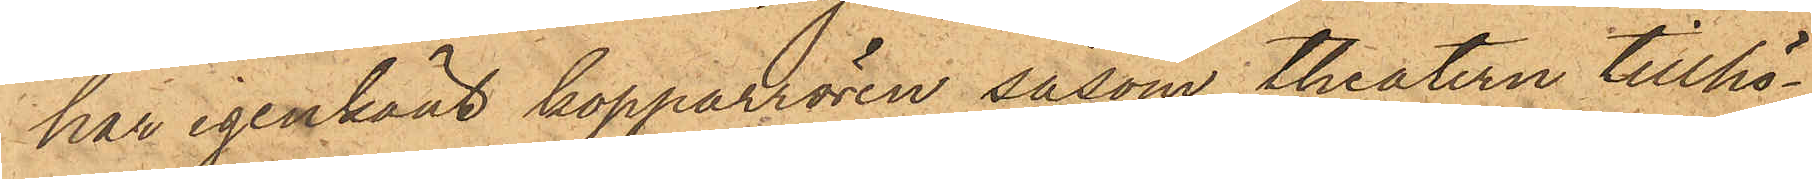har igenkänt kopparrören såsom theatern tillhö¬
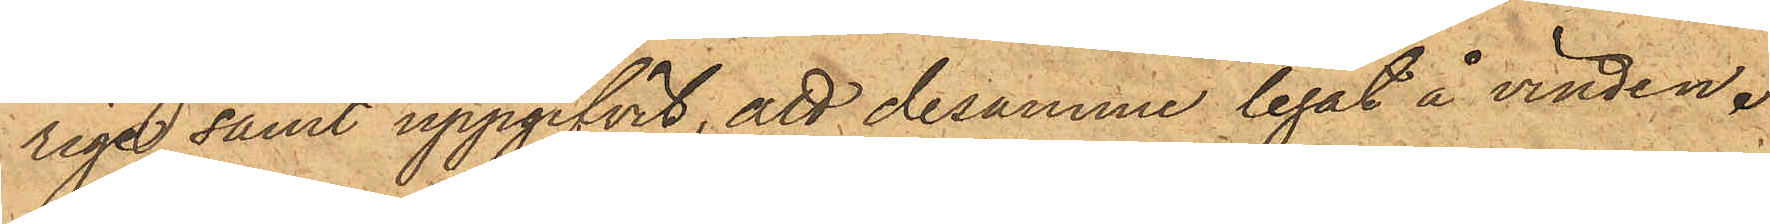rige samt uppgifvit, att desamme legat å vinden.
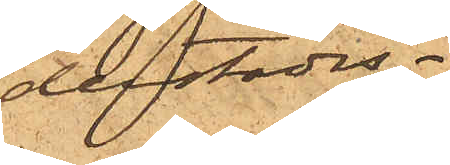derstädes.
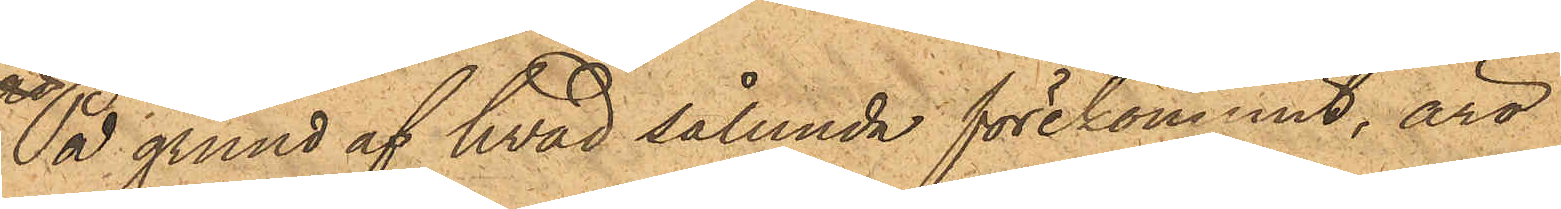På grund af hvad sålunda förekommit, äro
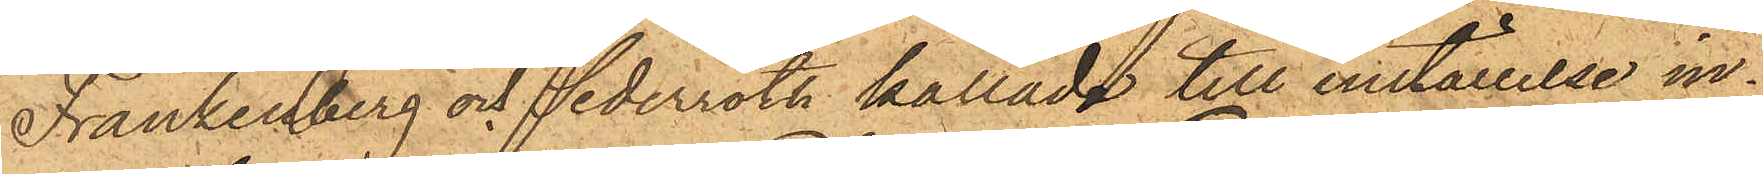Frankenberg och Sederroth kallade till inställelse in¬
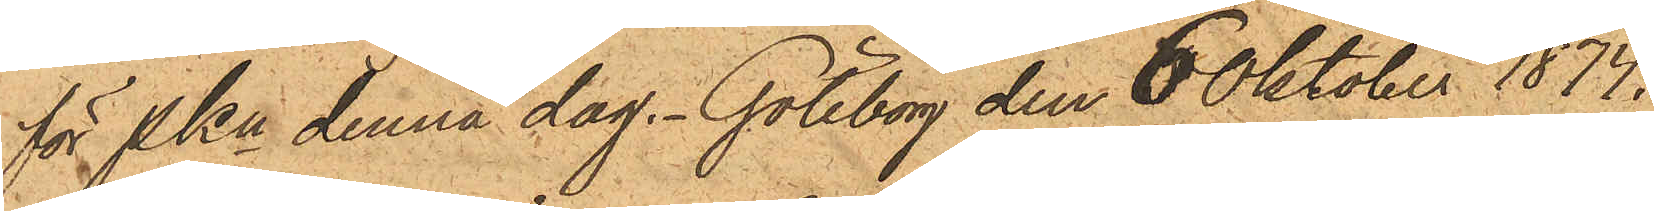för PKn denna dag. Göteborg den 6 Oktober 1874.
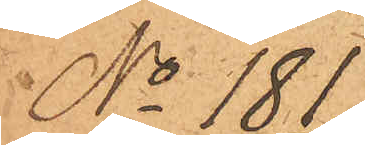No 181
